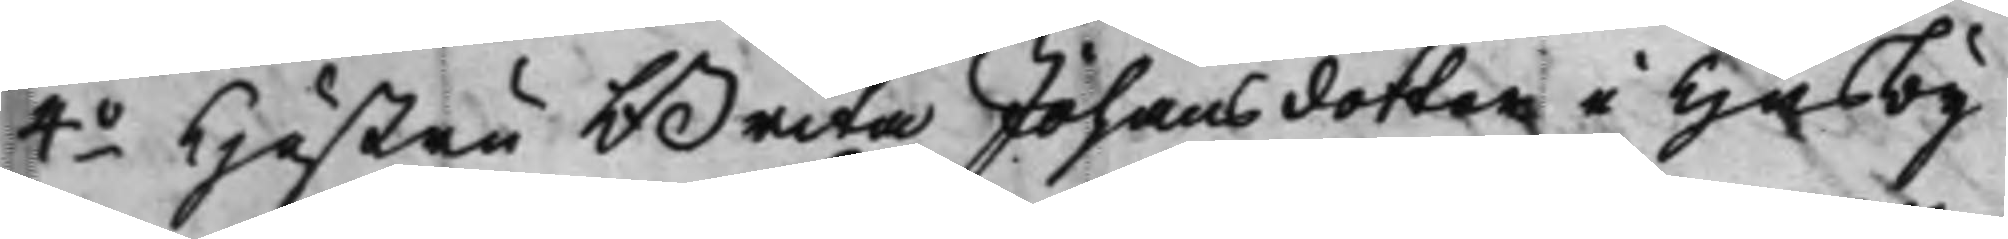4o Hustru Brita Johansdotter i Husby
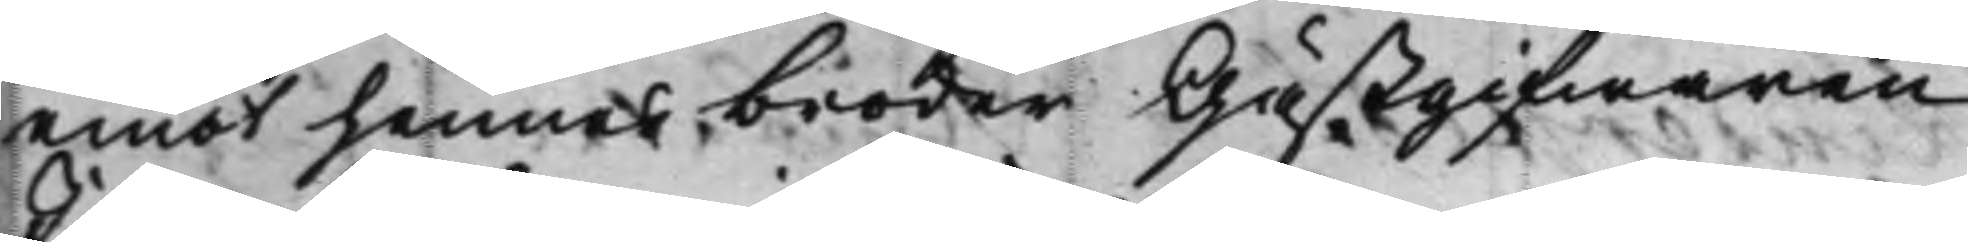emot hennes broder Gästgifwaren
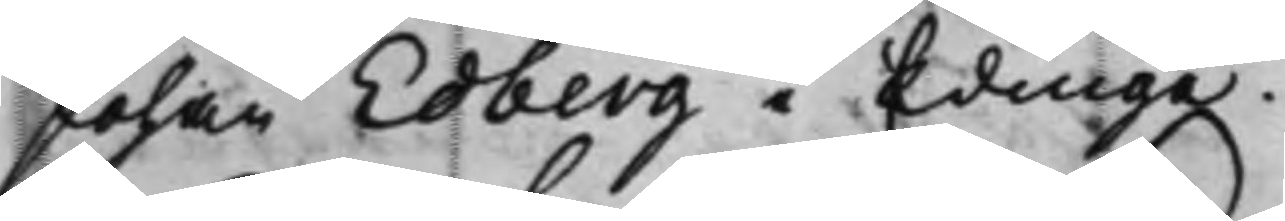Johan Edberg i Edinge.
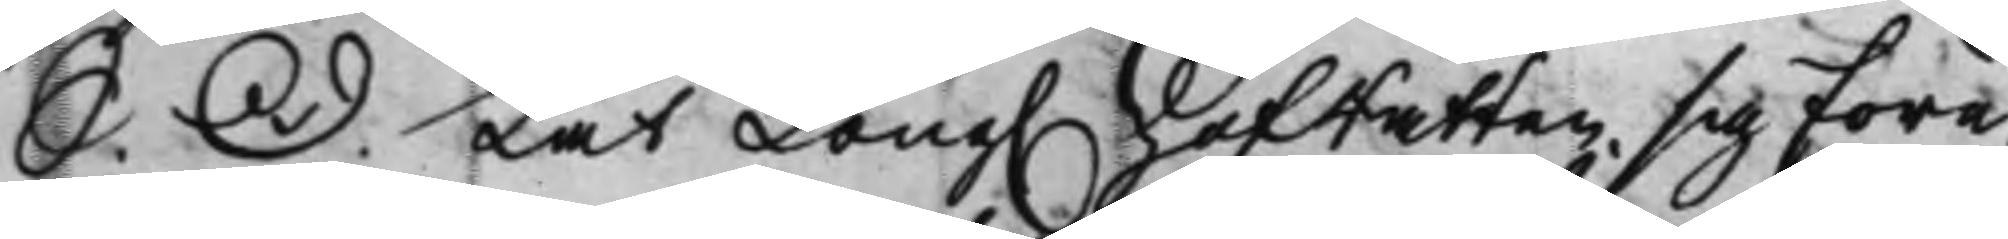S. D. Lät Kong. HofRätten sig före¬
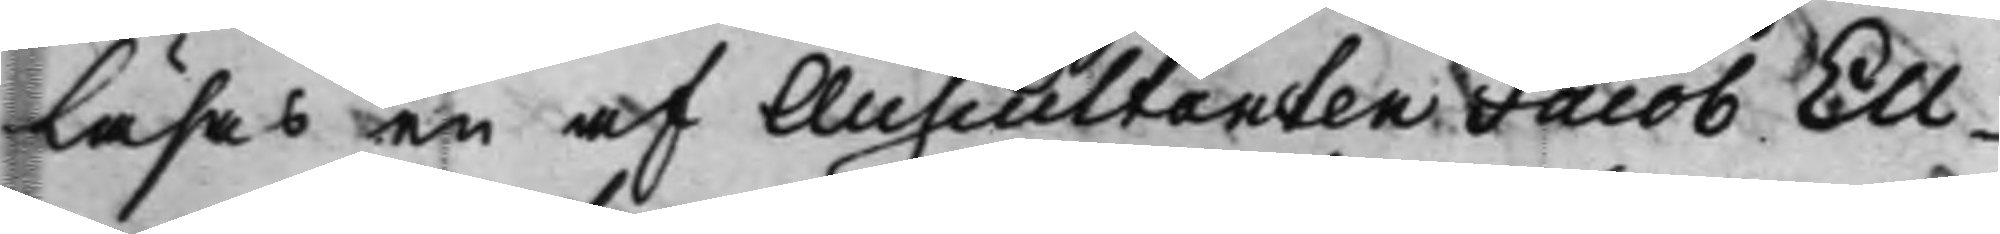läsas en af Auscultanten Jacob Ell¬
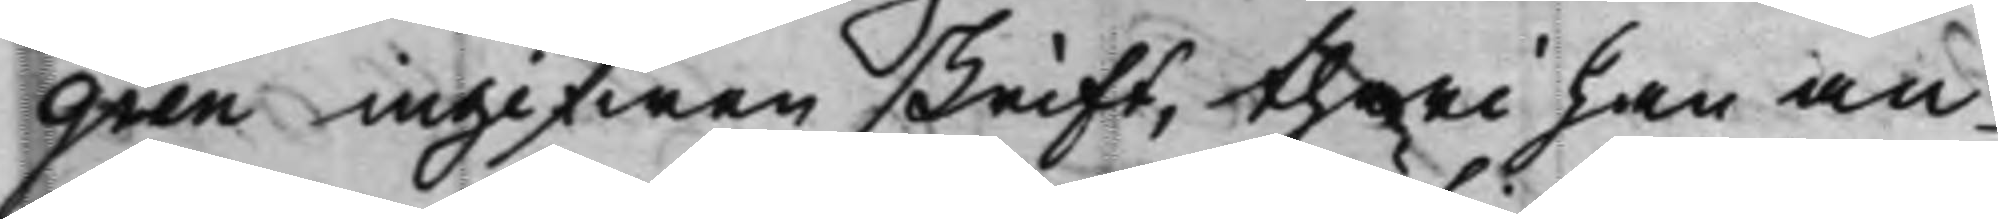gren ingifwen skrift, theri han an¬
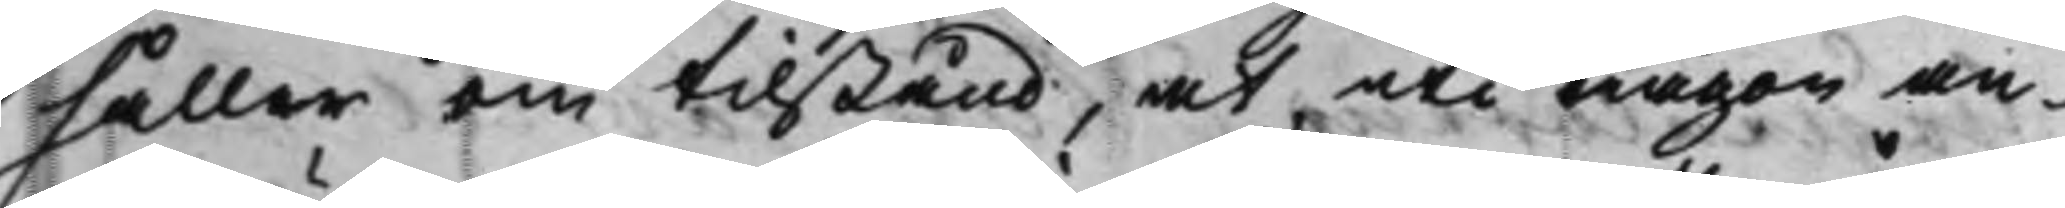håller om tilstånd, at uti någon an¬
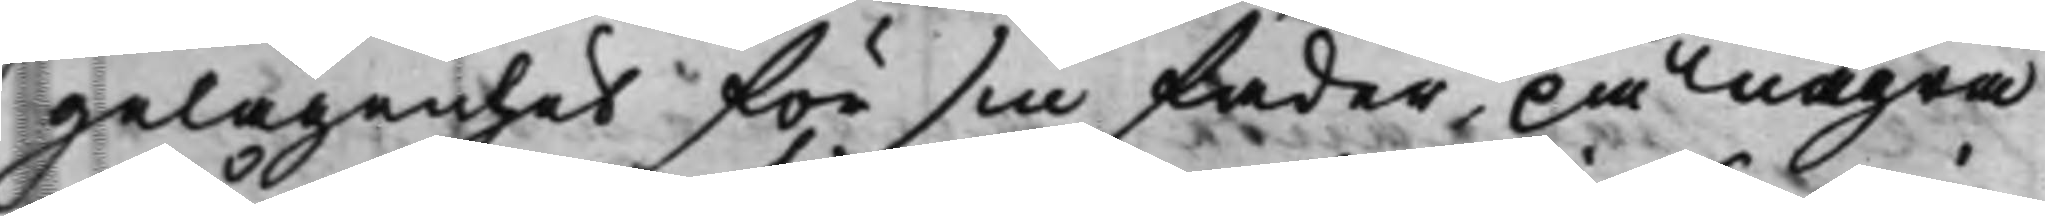gelägenhet för sin fader, på några
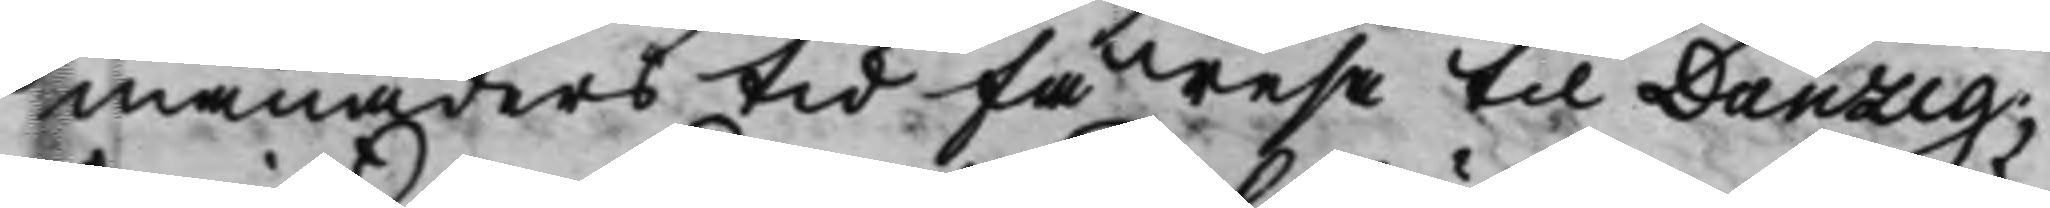månaders tid få resa til Danzig,
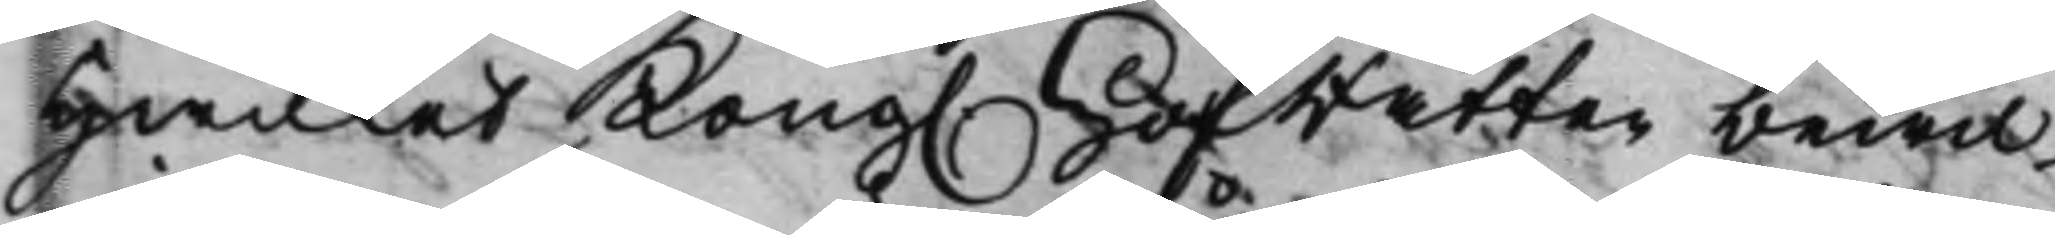hwilket Kong. HofRätten bewil¬
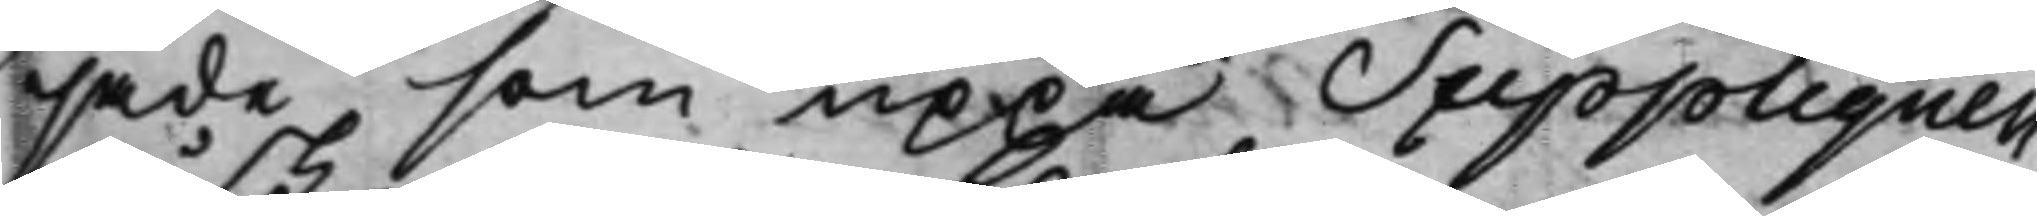jade som uppå Suppliquen
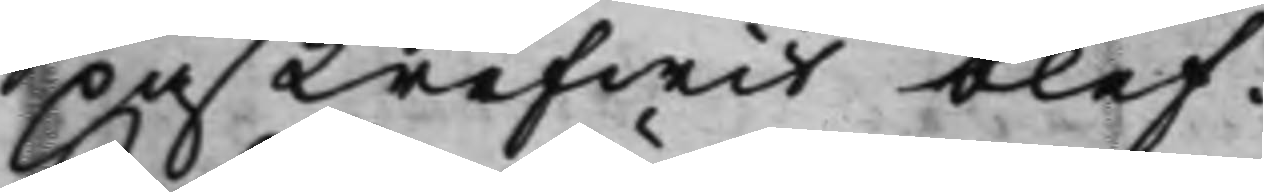påskrifwit blef.
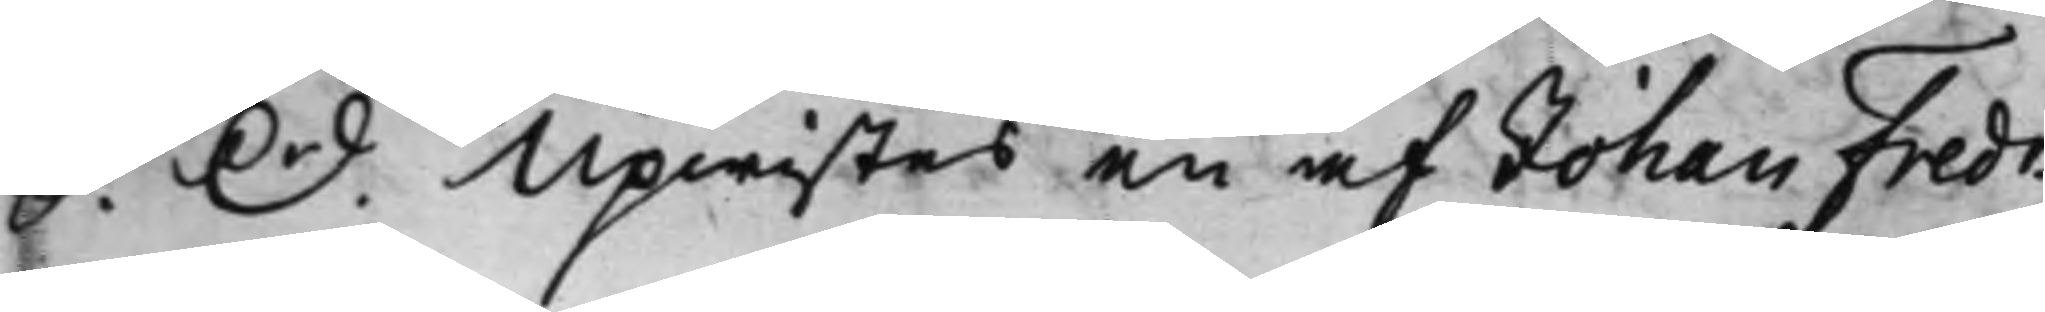S. D. Upwistes en af Johan Fredr.
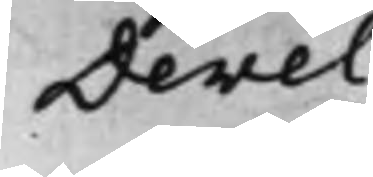Devel
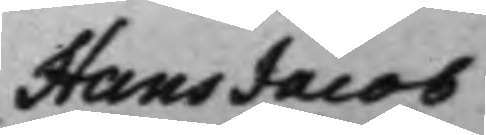Hans Jacob
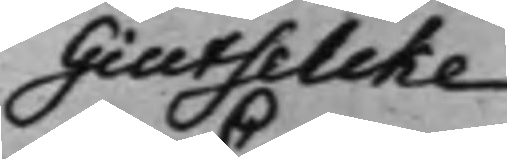Giutselcke
